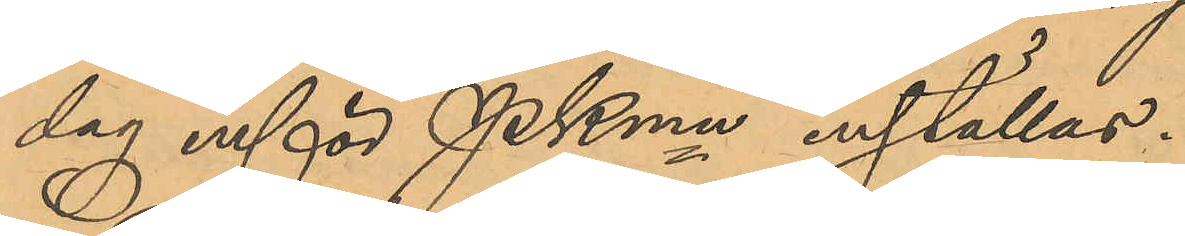dag inför PKmn inställas.
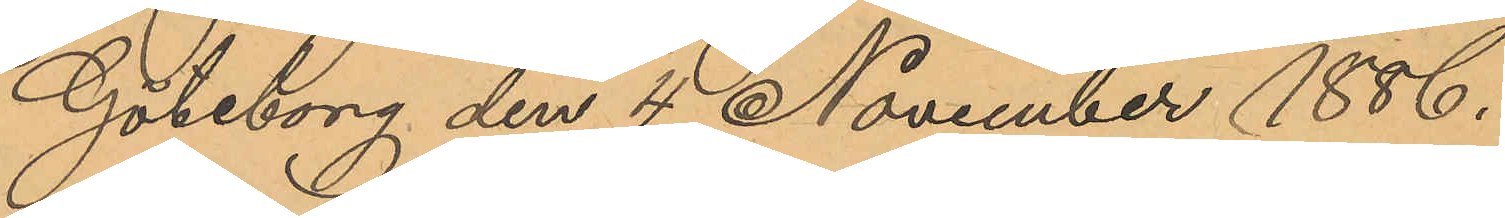Göteborg den 4 November 1886.
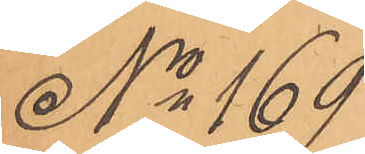No 169
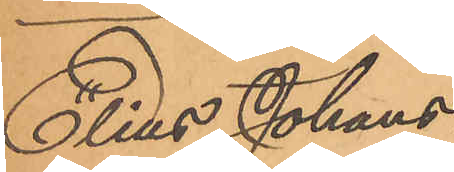Elias Johans¬
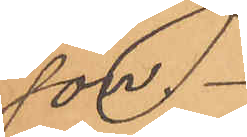son.
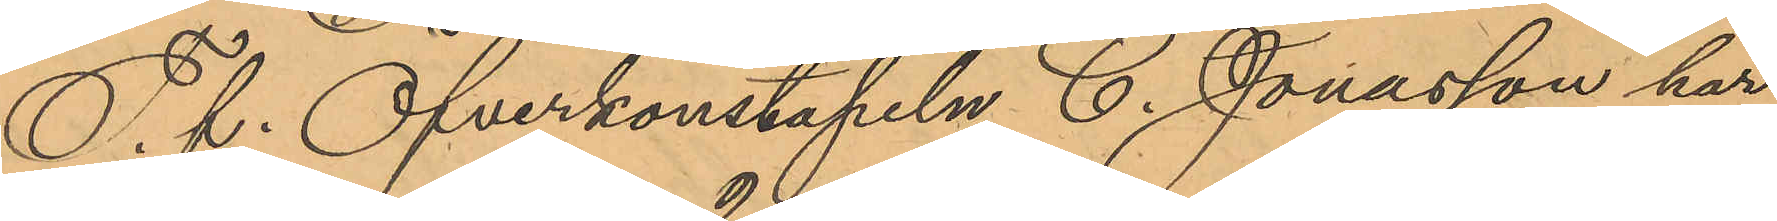T. f. Öfverkonstapeln C. Jonasson har
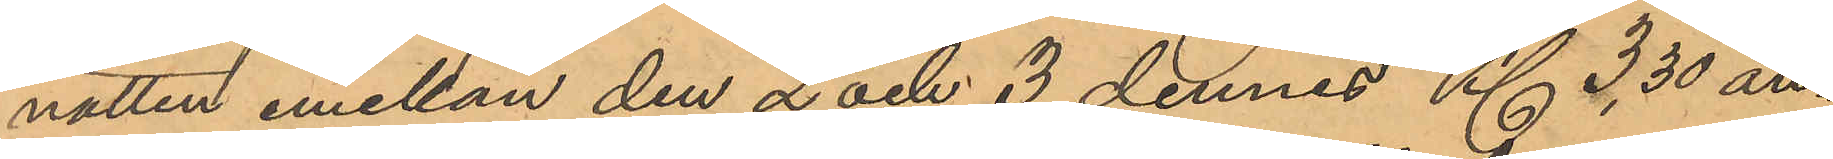natten emellan den 2 och 3 dennes Kl. 3,30 an¬
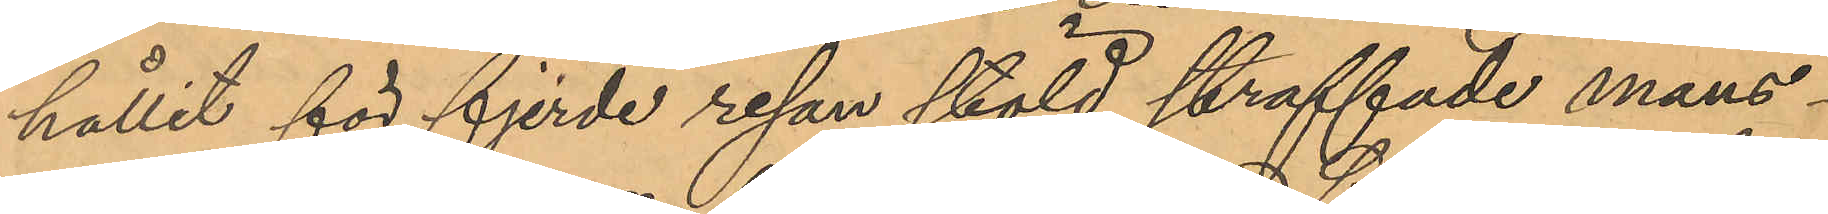hållit för fjerde resan stöld straffade mans¬
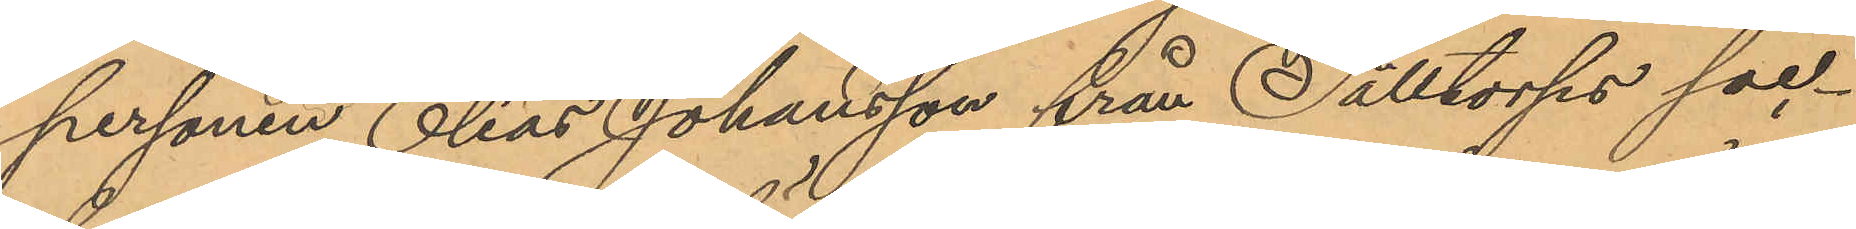personen Elias Johansson från Sälltorps soc¬
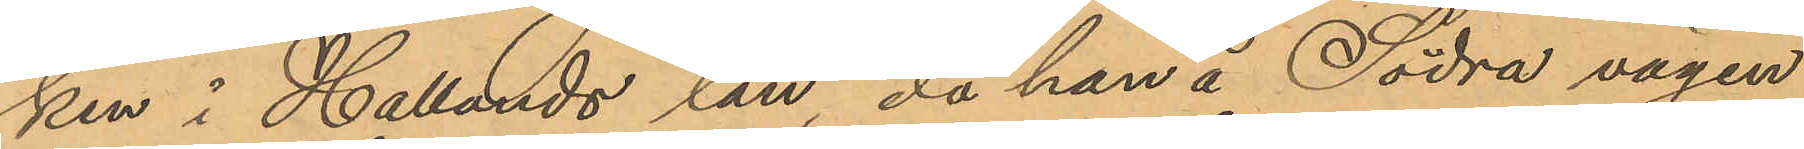ken i Hallands län, då han å Södra vägen
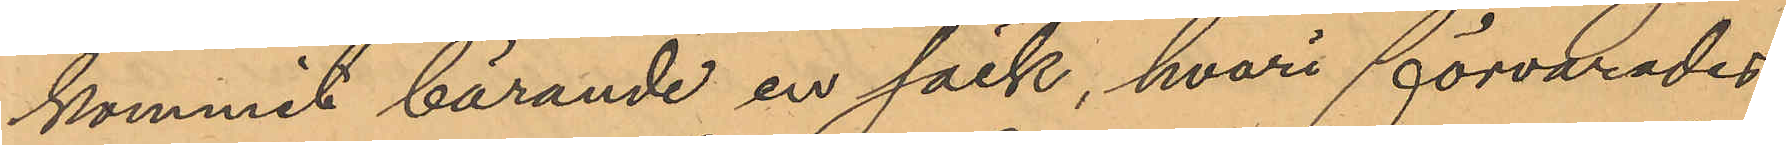kommit bärande en säck, hvari förvarades
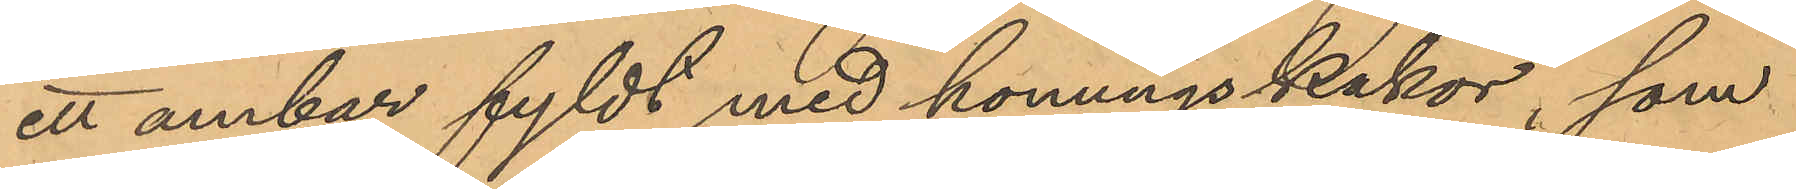ett ambar fyldt med honungskakor, som
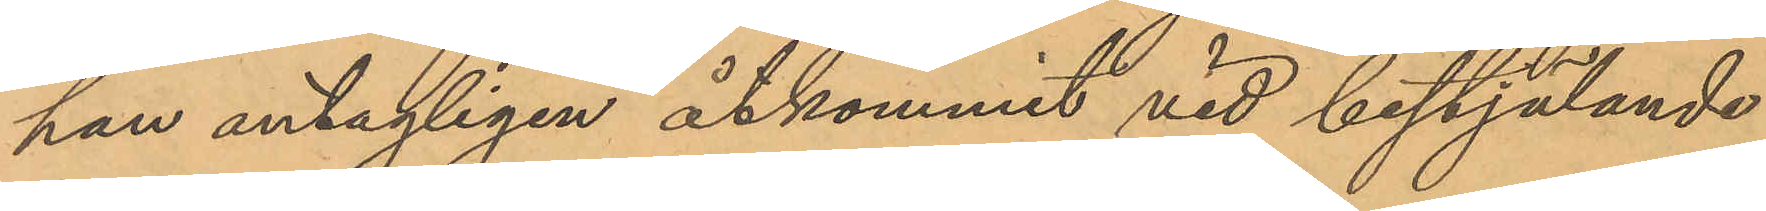han antagligen åtkommit vid bestjälande
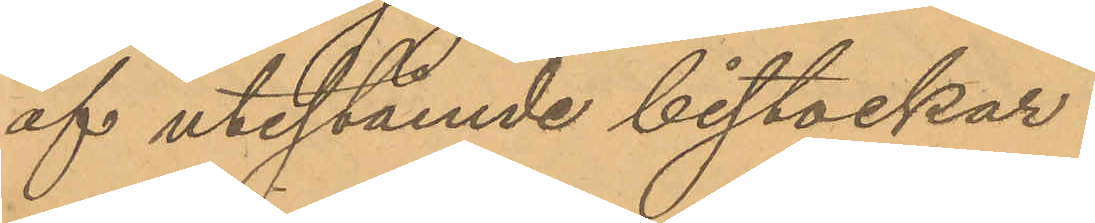af utestående bistockar.
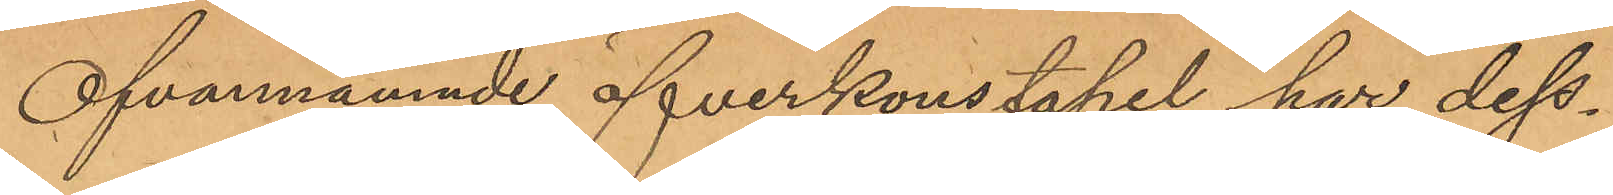Ofvannämnde öfverkonstapel har dess¬
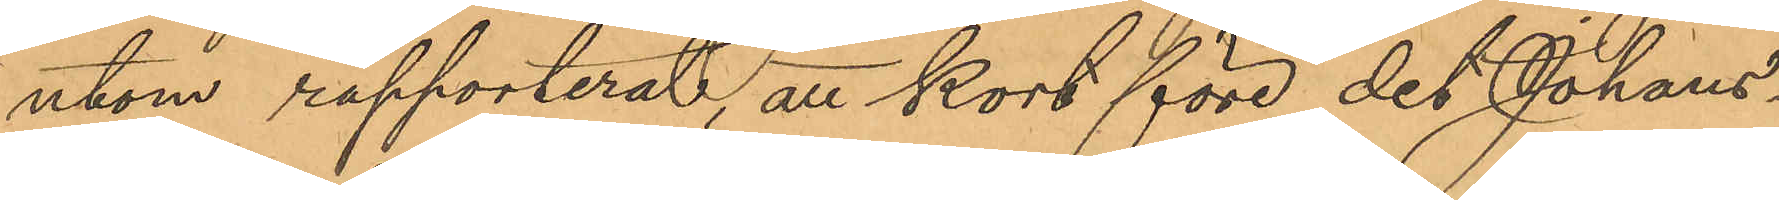utom rapporterat, att kort före det Johans¬
